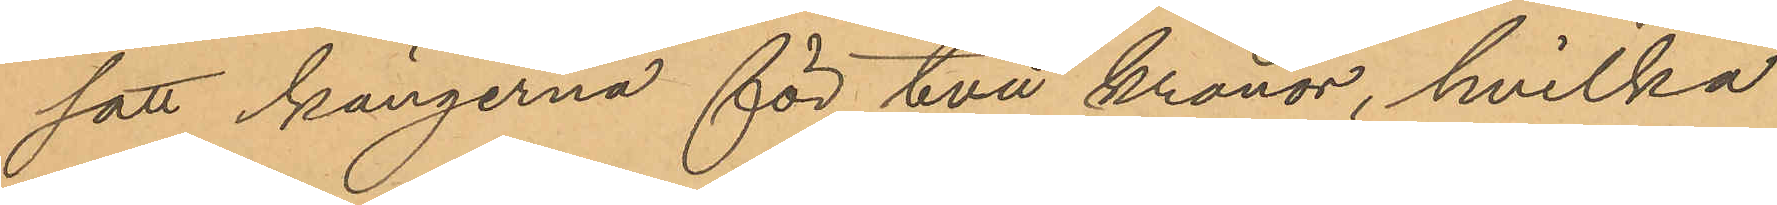satt kängerna för två kronor, hvilka
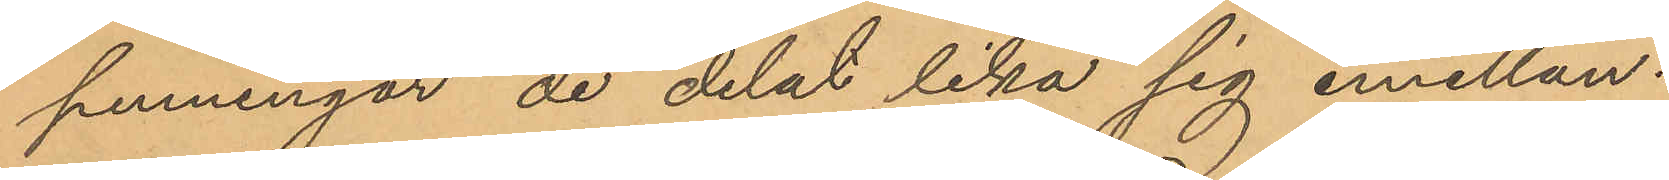penningar de delat lika sig emellan.
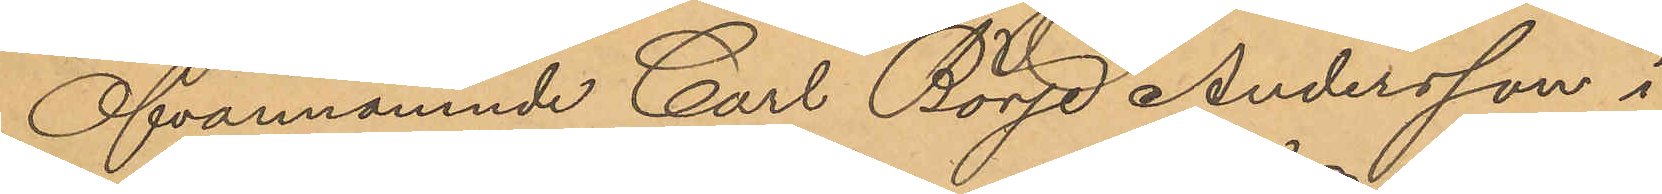Ofvannämnde Carl Börje Andersson i
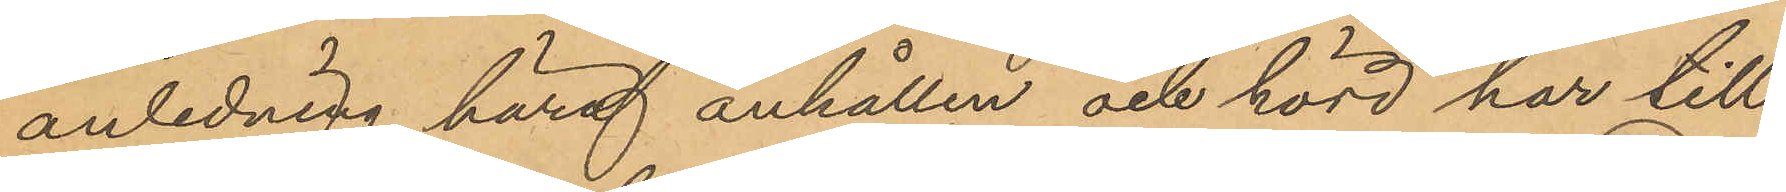anledning häraf anhållen och hörd har till
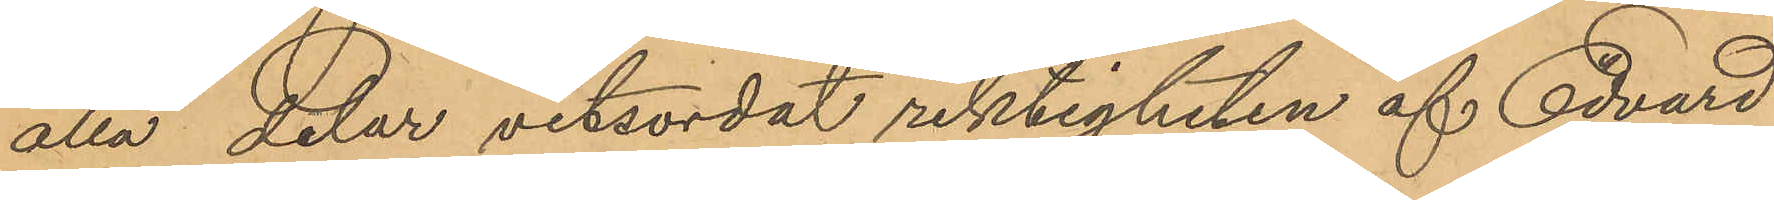alla delar vitsordat riktigheten af Edvard
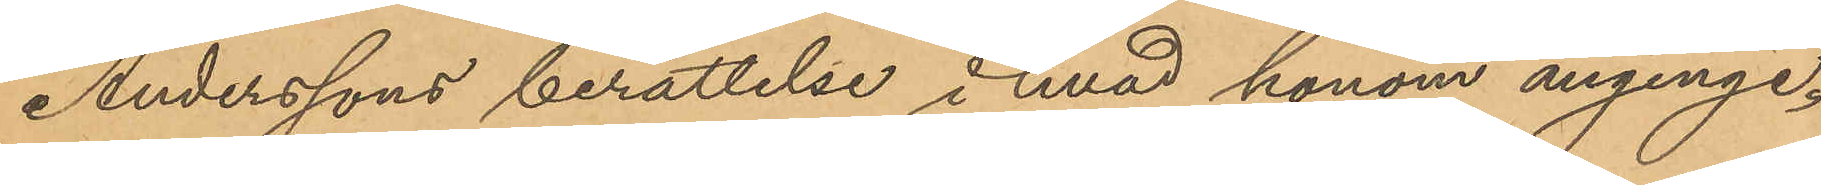Anderssons berättelse i hvad honom anginge.
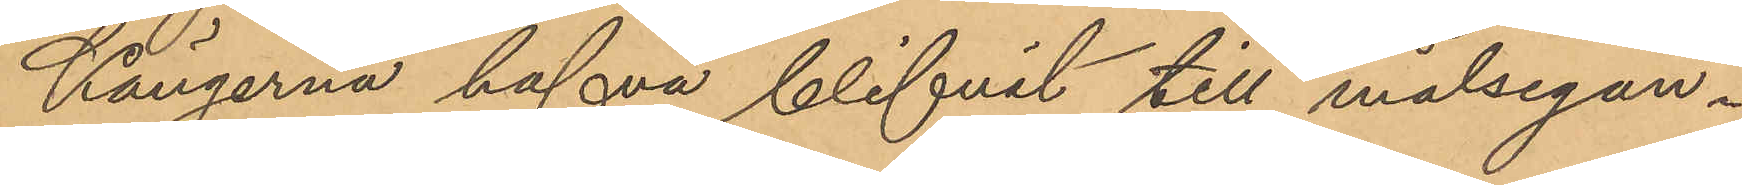Kängerna hafva blifvit till målsegan¬
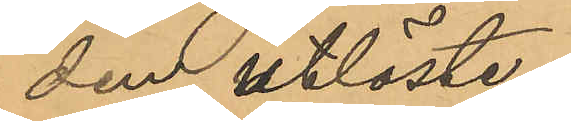den utlöste.
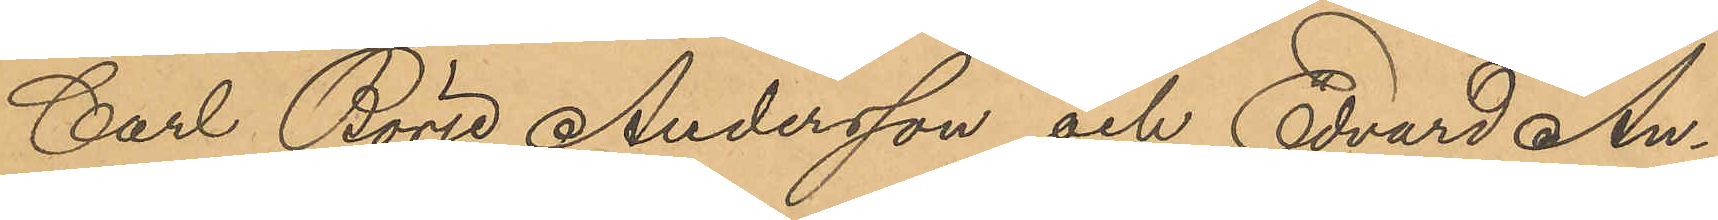Carl Börje Andersson och Edvard An¬
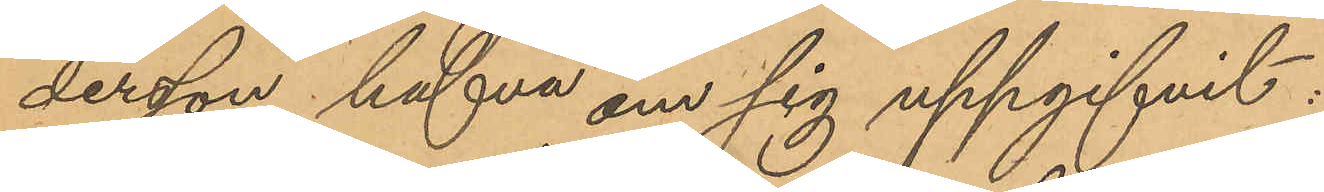dersson hafva om sig uppgifvit:
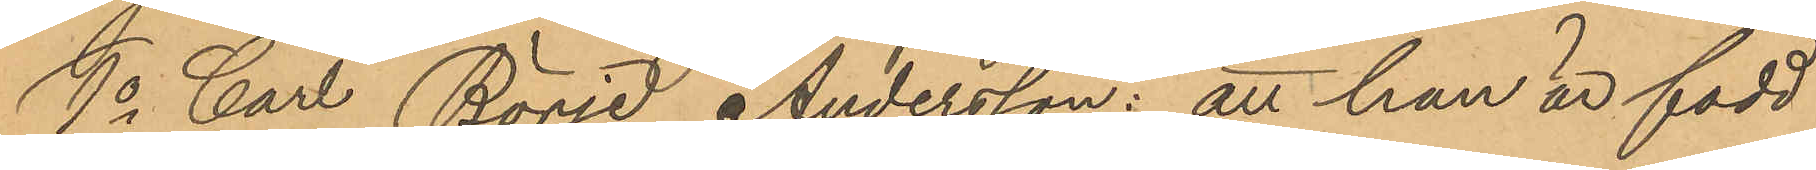1o Carl Börje Andersson: att han är född
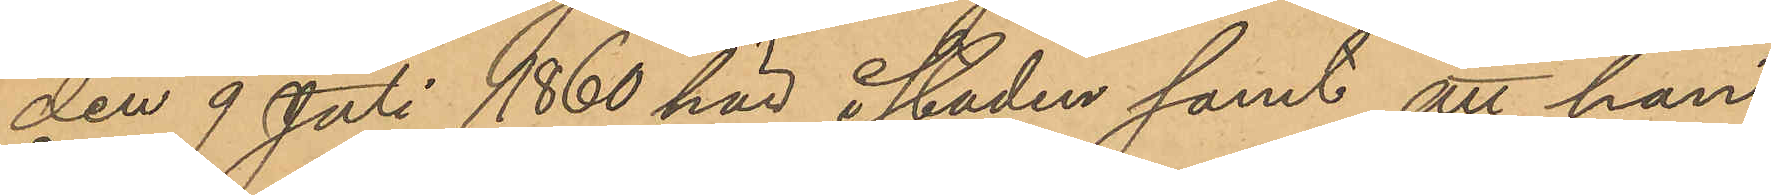den 9 Juli 1860 här i staden samt att han
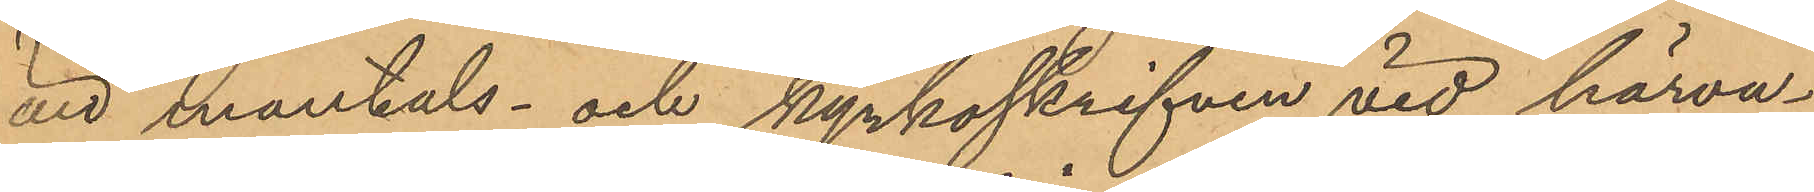är mantals- och kyrkoskrifven vid härva¬
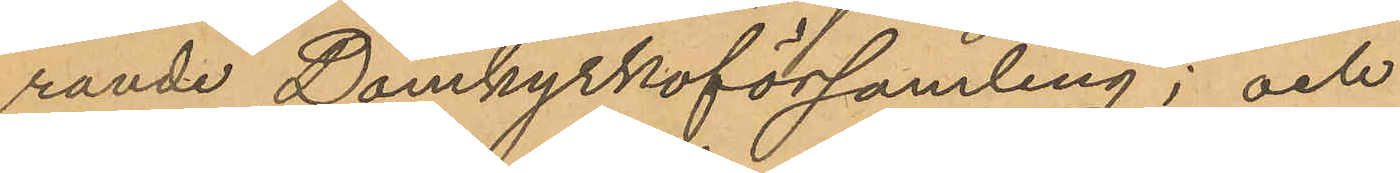rande Domkyrkoförsamling; och
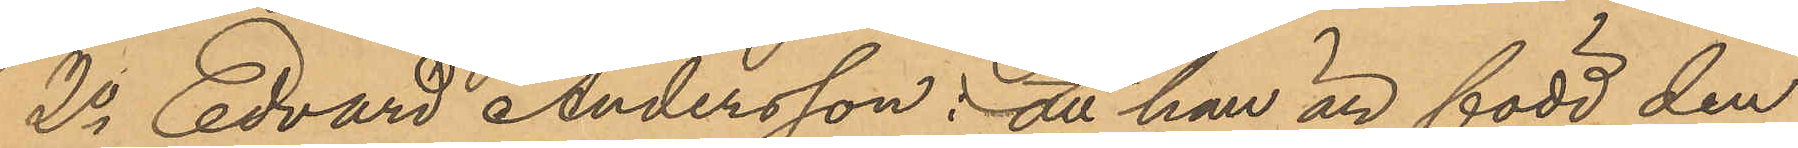2o Edvard Andersson: att han är född den
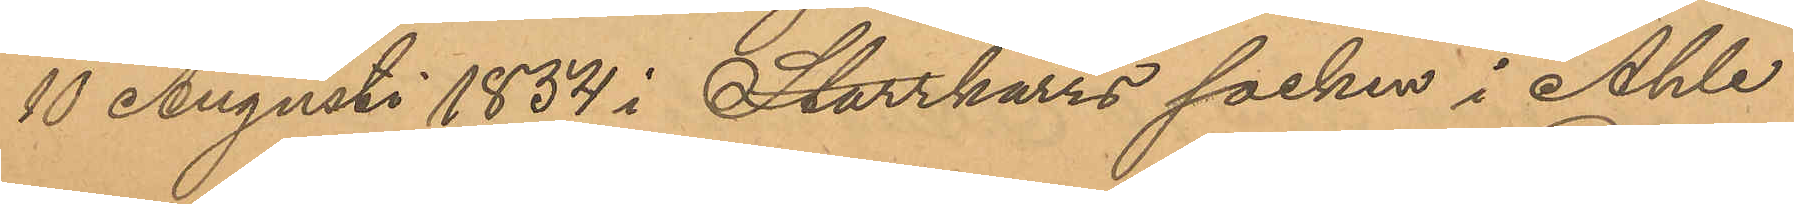10 Augusti 1854 i Starrkärrs socken i Ahle
